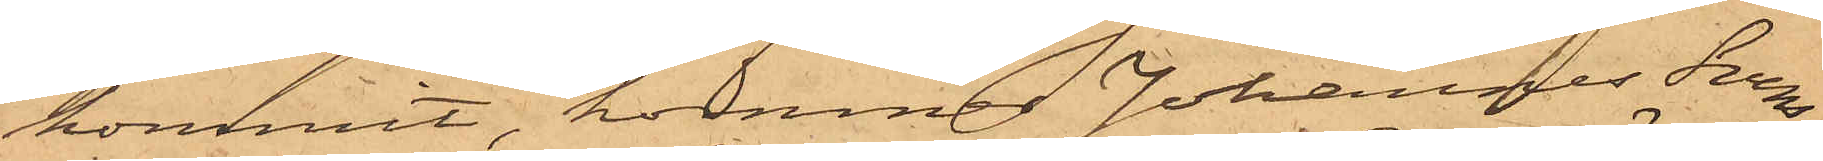kommit, kommer Johannes Sven¬
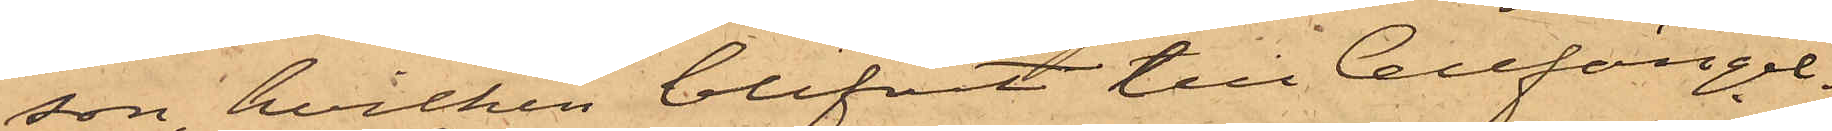son, hvilken blifvit till Cellfängel¬
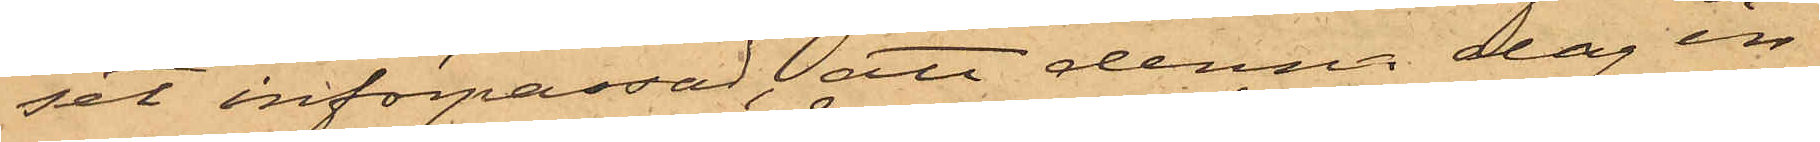sel införpassad, att denna dag in¬
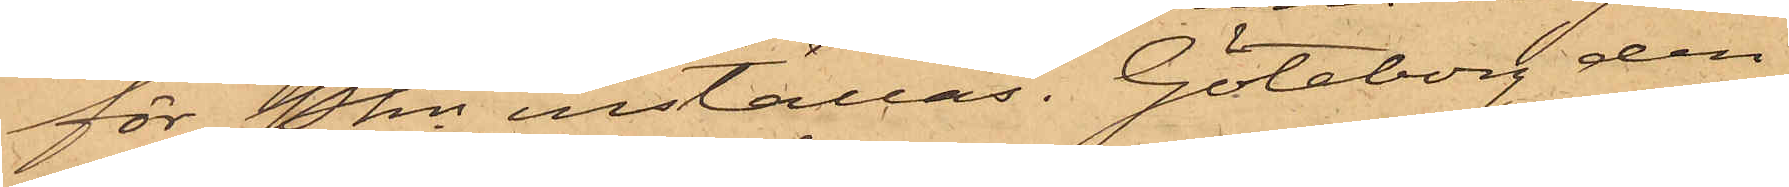för Pkn inställas. Göteborg den
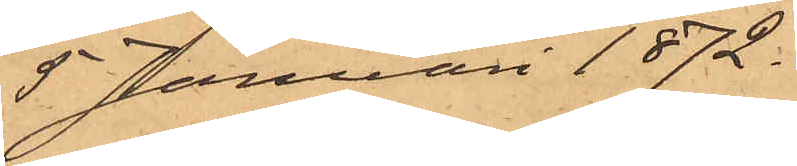5 Januari 1872.
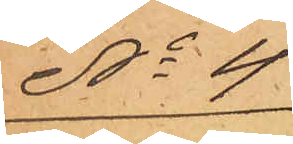No 4
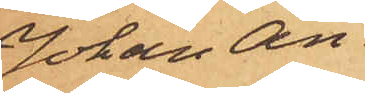Johan An¬
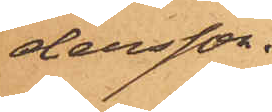dersson.
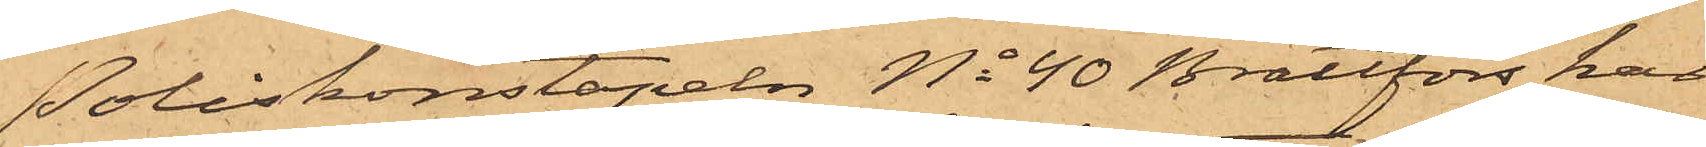Poliskonstapeln No 40 Brattfors har
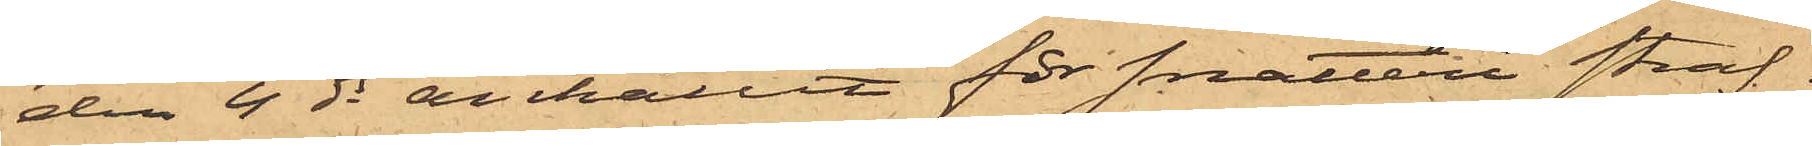den 4 ds anhållit för snatteri straf¬
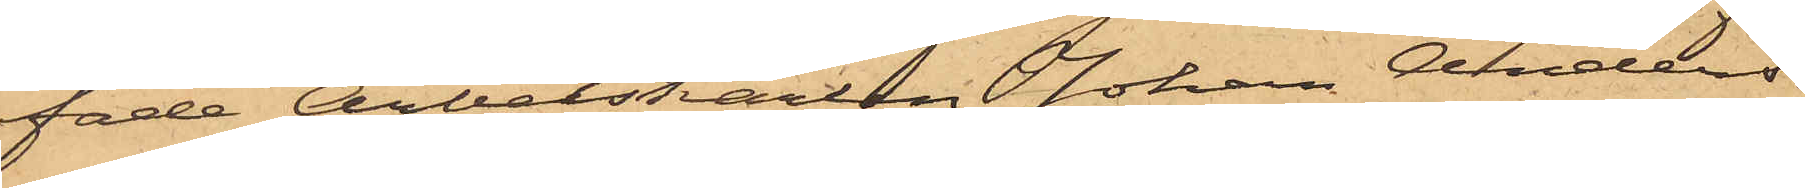fade Arbetskarlen Johan Anders¬
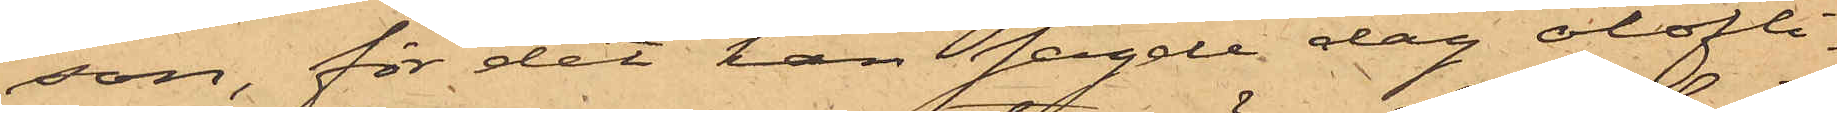son, för det han sagde dag olofli¬
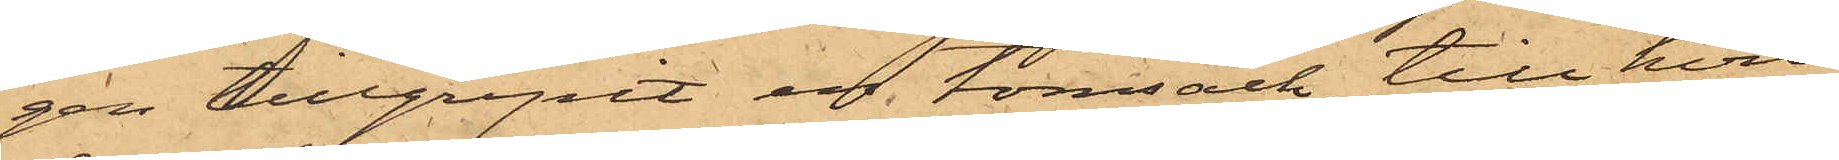gen tillgripit en tomsäck, till hvil¬
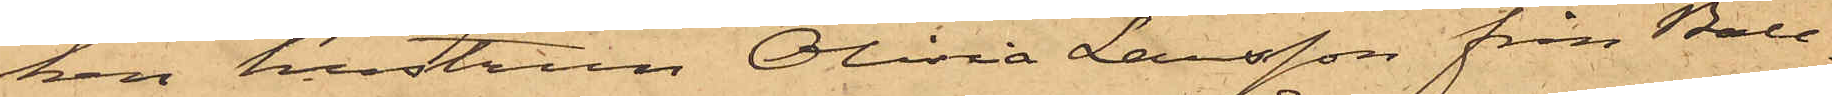ken hustrun Olivia Larsson från Ball¬
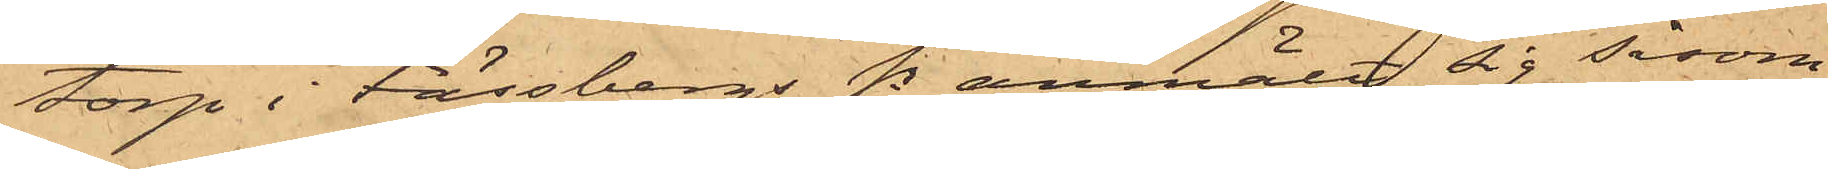torp i Fässbergs Sn anmält sig såsom
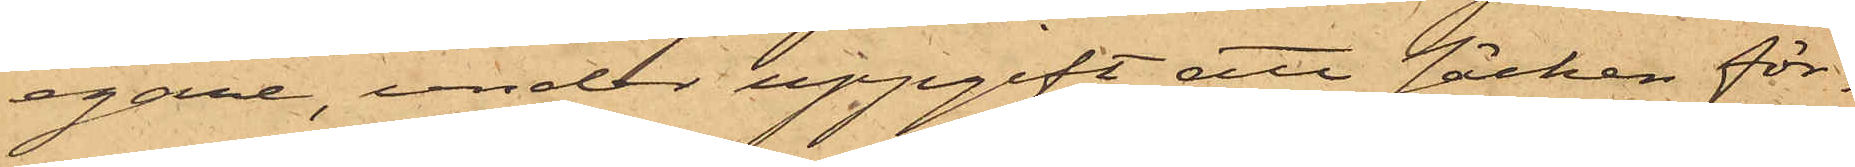egare, under uppgift att säcken för¬
